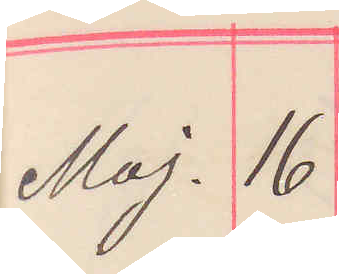Maj. 16
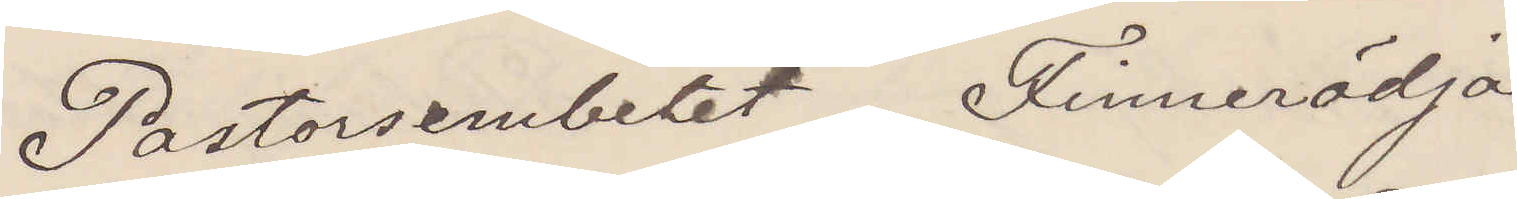Pastorsembetet Finnerödja
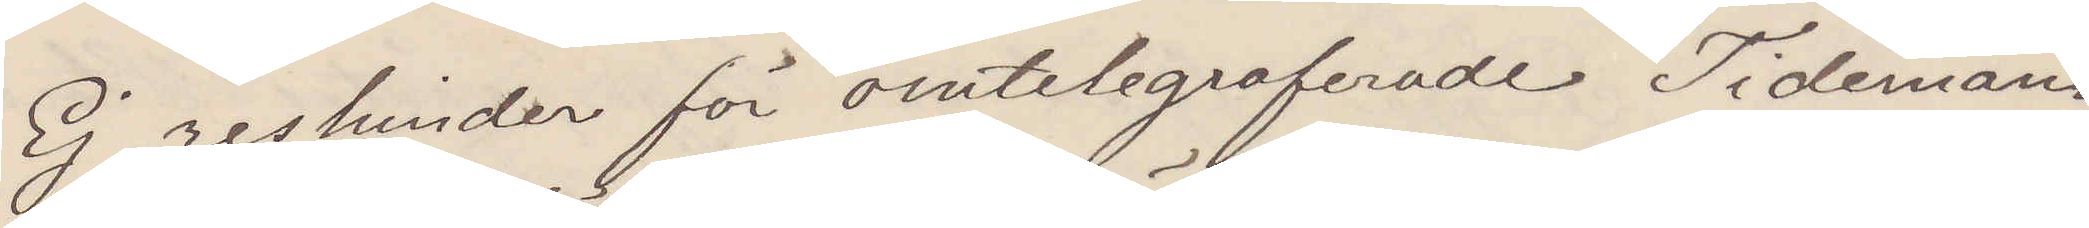Ej reshinder för omtelegraferade Tidemann
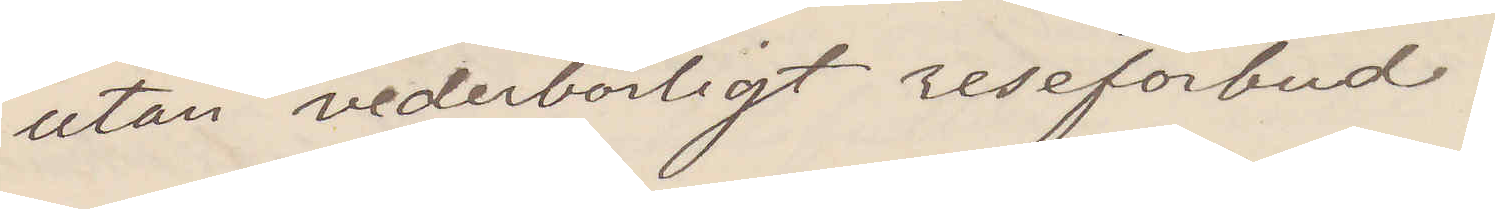utan vederbörligt reseförbud.
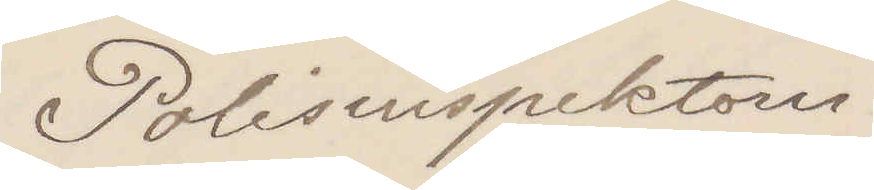Polisinspektorn
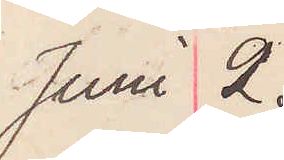Juni 2.
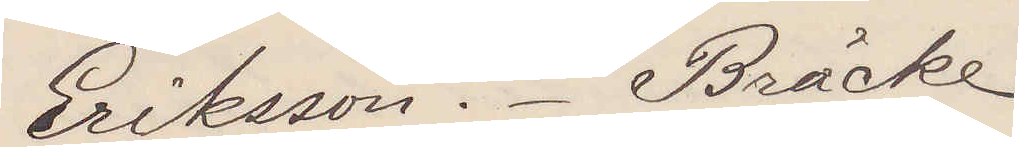Eriksson. Bräcke
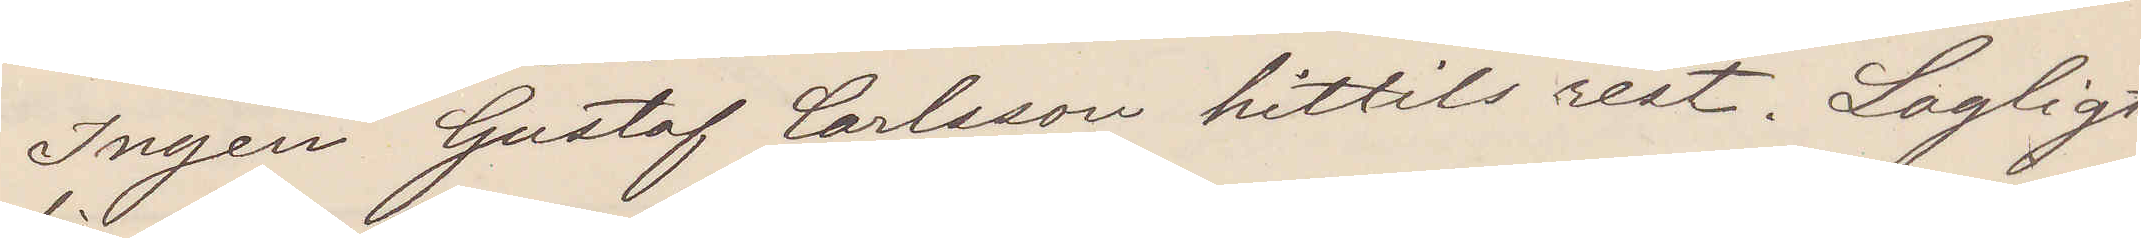Ingen Gustaf Carlsson hittils rest. Lagligt
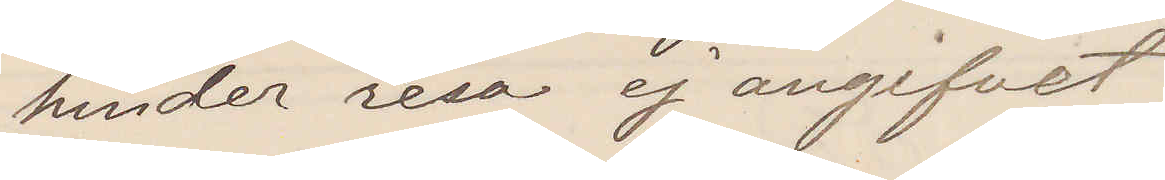hinder resa ej angifvet
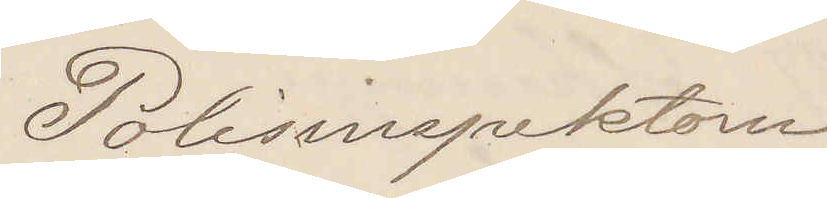Polisinspektorn
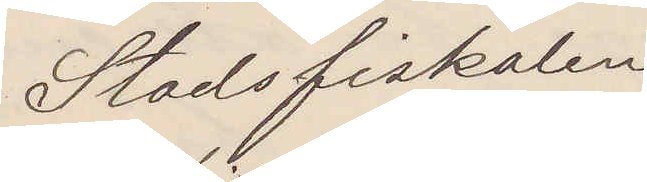Stadsfiskalen 
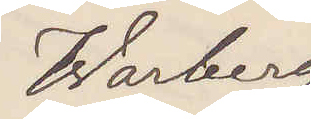Warberg
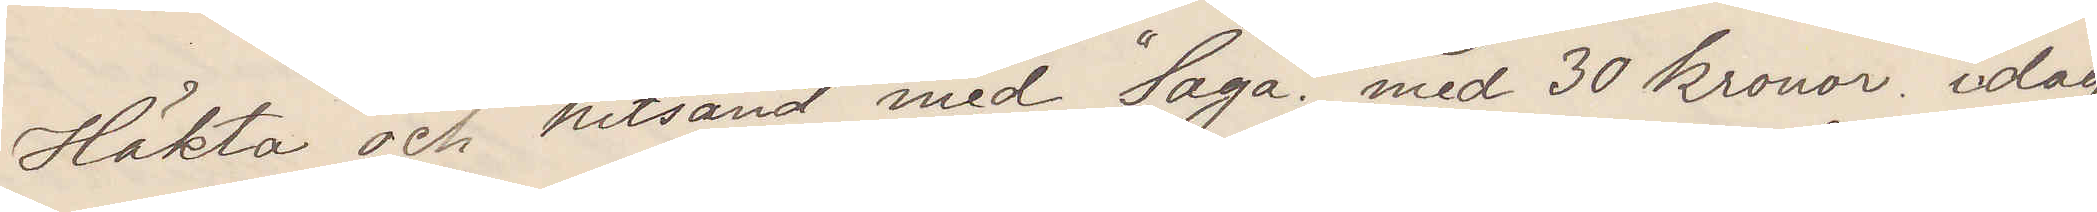Häkta och hitsänd med "Saga" med 30 kronor idag
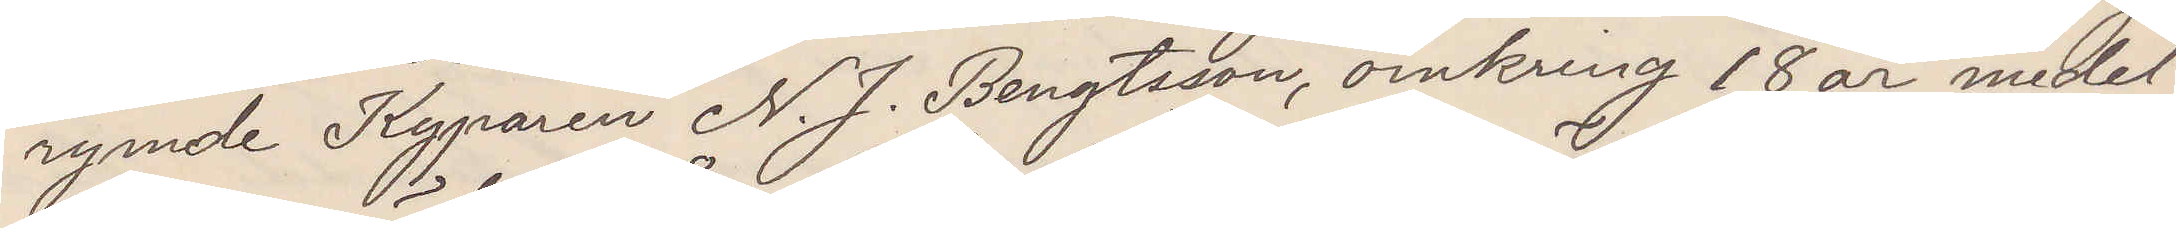rymde Kyparen N. J. Bengtsson, omkring 18 år medel¬
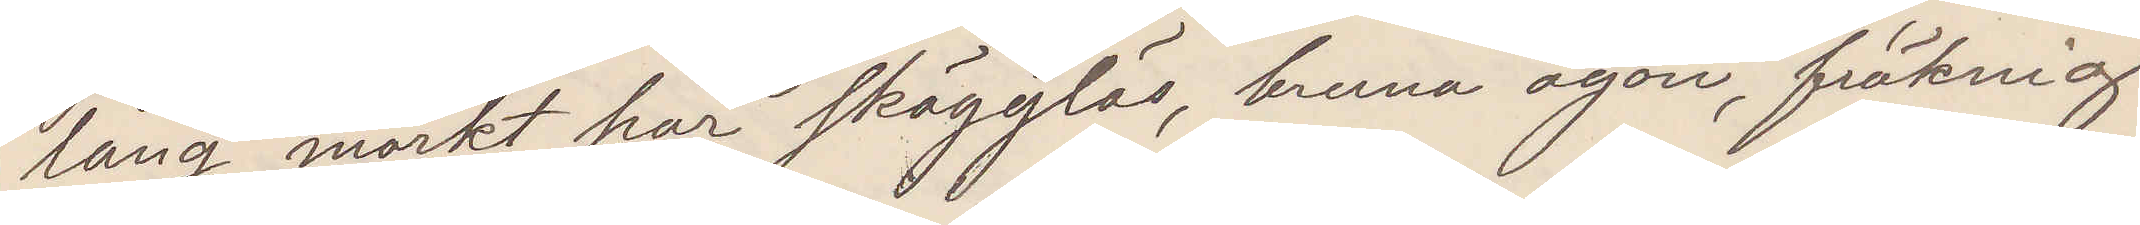lång, mörkt hår skägglös, bruna ögon, fräknig
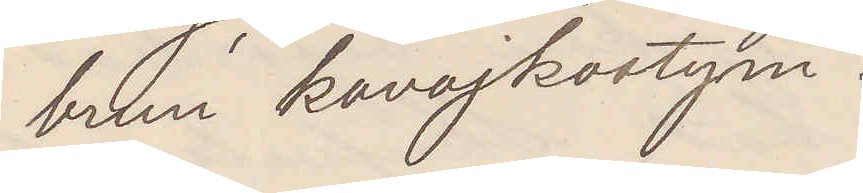brun kavajkostym.
